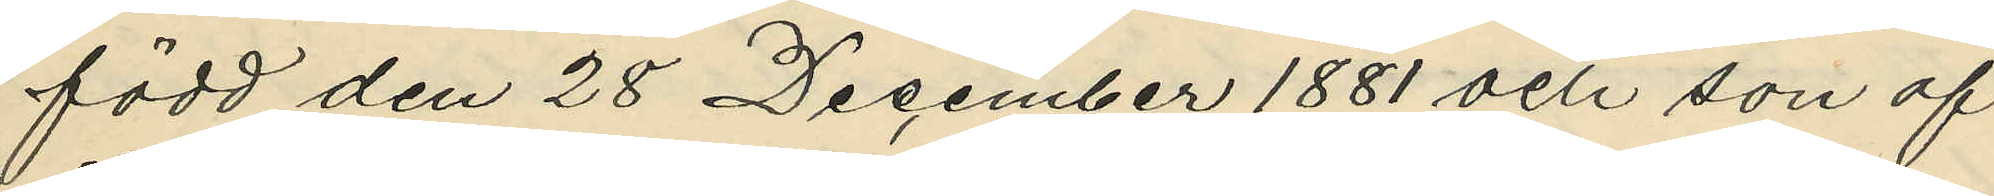född den 28 December 1881 och son af
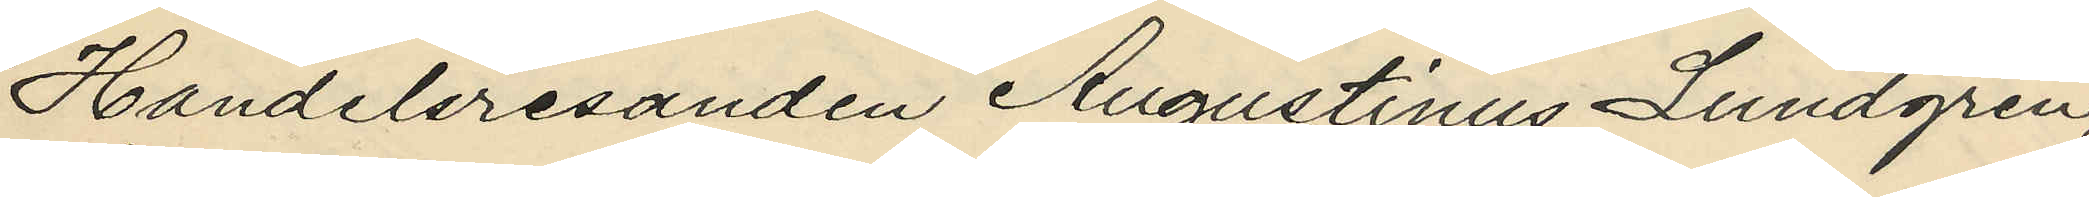Handelsresanden Augustinus Lundgren,
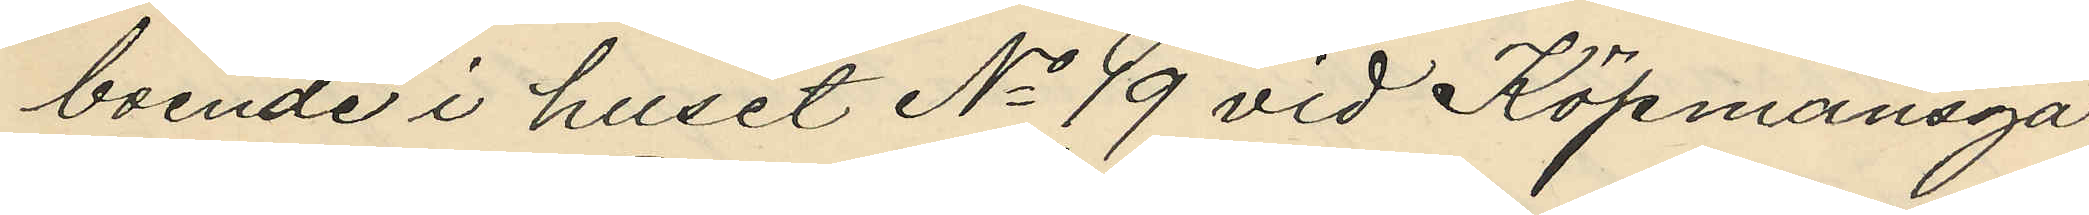boende i huset No 19 vid Köpmansga¬
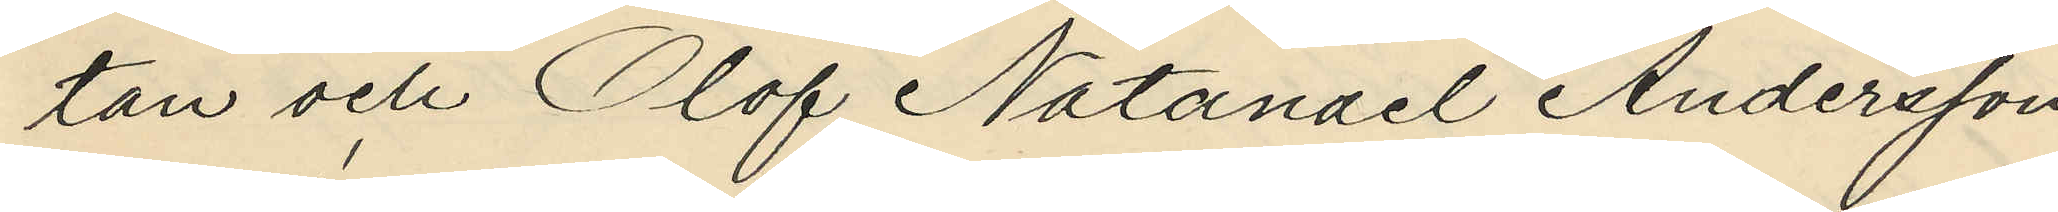tan och Olof Natanael Andersson,
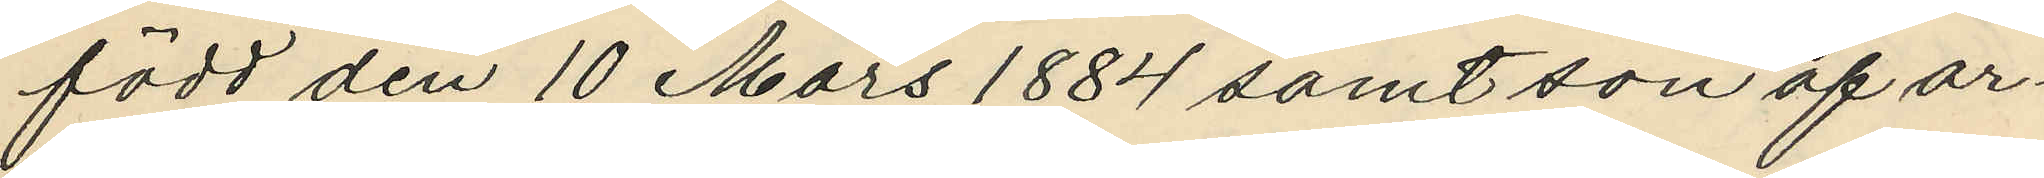född den 10 Mars 1884 samt som af ar¬
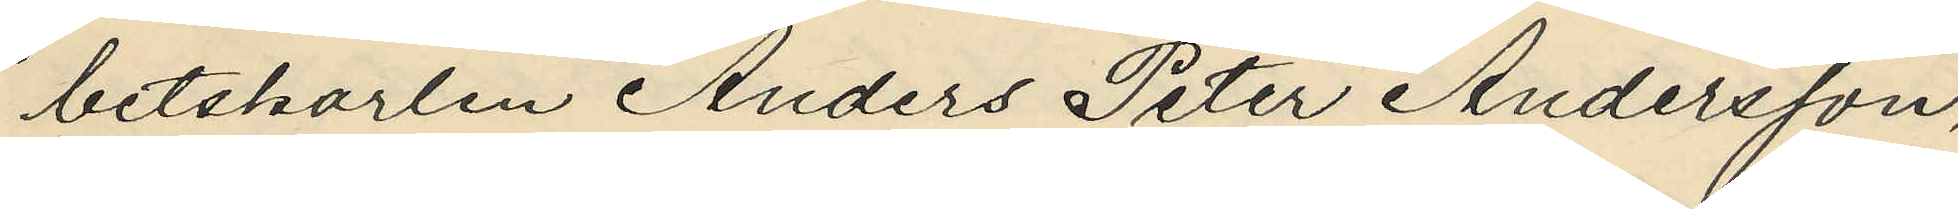betskarlen Anders Peter Andersson,
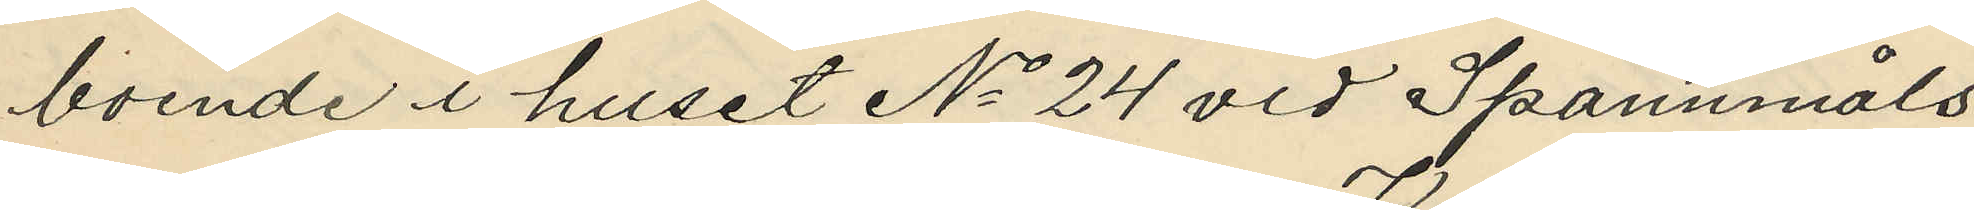boende i huset No 24 vid Spannmåls¬
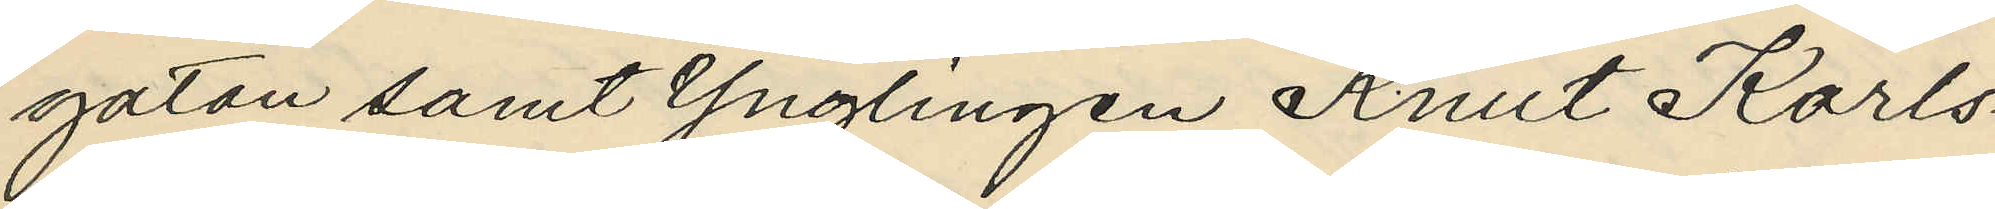gatan samt Ynglingen Knut Karls¬
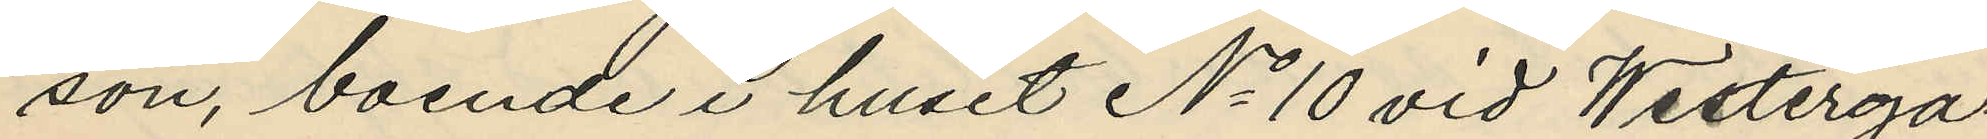son, boende i huset No 10 vid Westerga¬
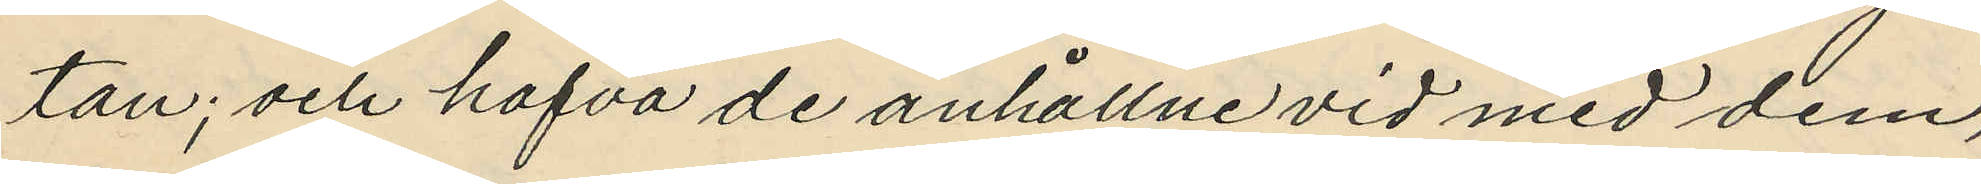tan; och hafva de anhållne vid med dem,
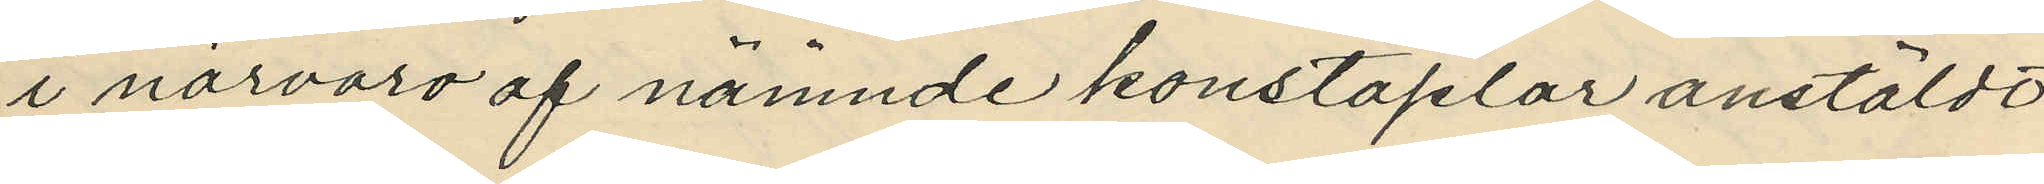i närvaro af nämnde konstaplar anstäldt
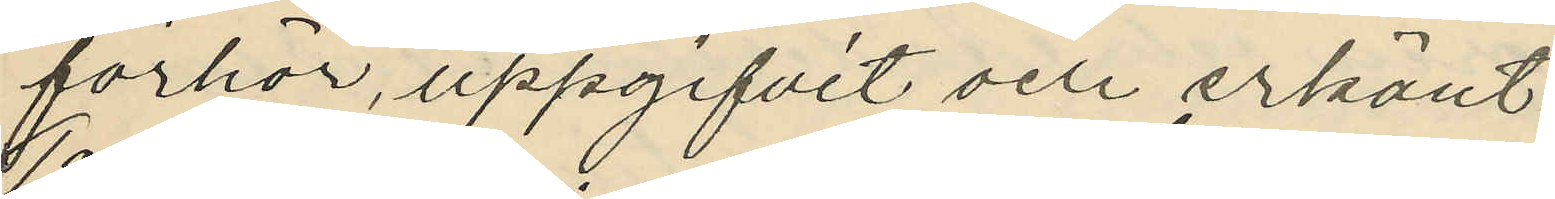förhör, uppgifvit och erkänt:
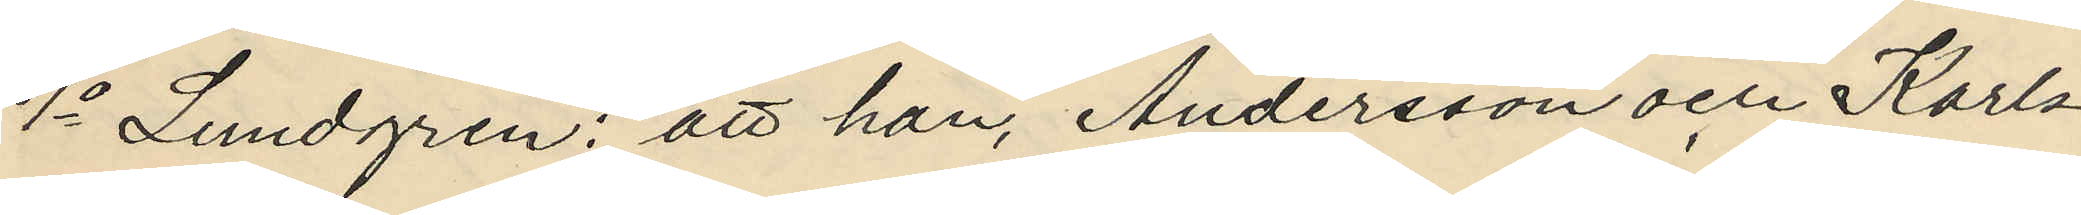1o Lundgren: att han, Andersson och Karls¬
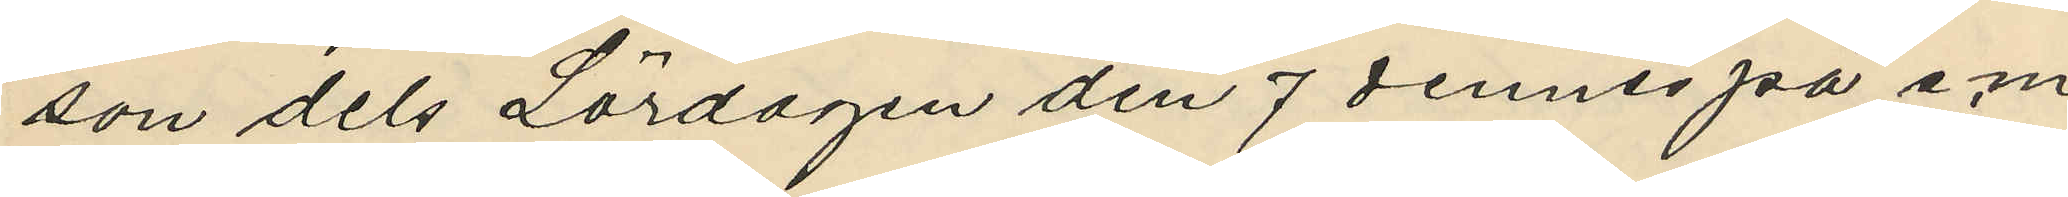son dels Lördagen den 7 dennes på e.m.
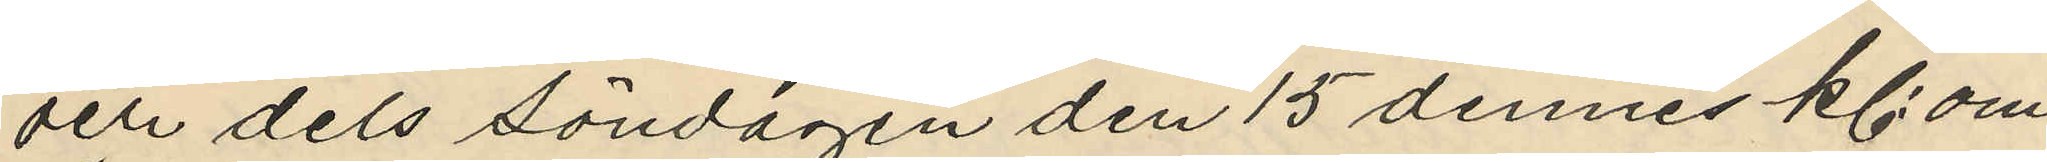och dels Söndagen den 15 dennes kl. om¬
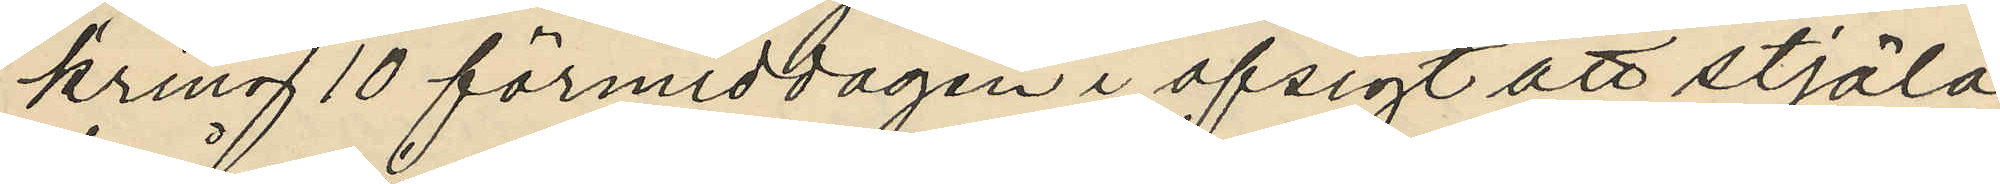kring 10 förmiddagen i afsigt att stjäla
